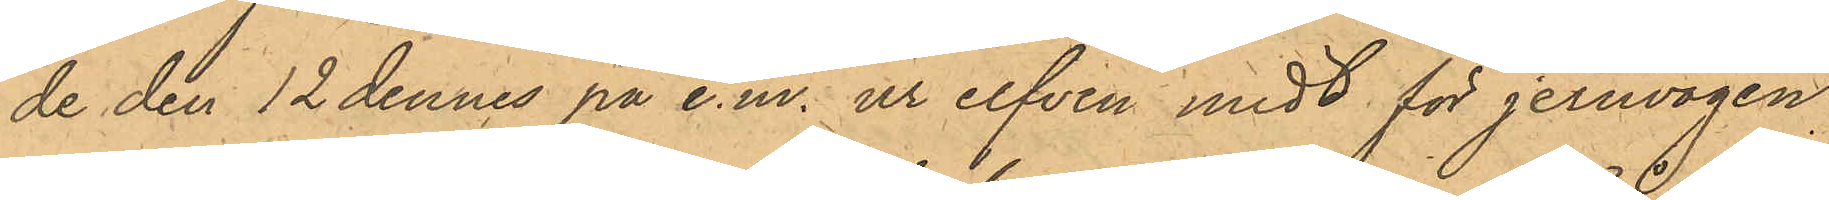de den 12 dennes på e.m. ur elfven midt för jernvågen
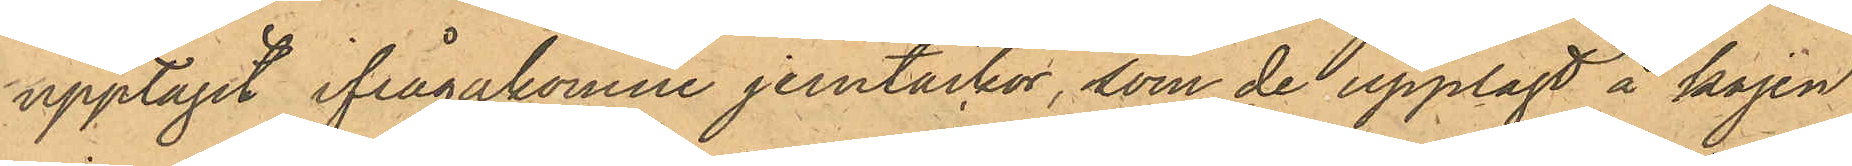upptagit ifrågakomne jerntackor, som de upplagt å kajen
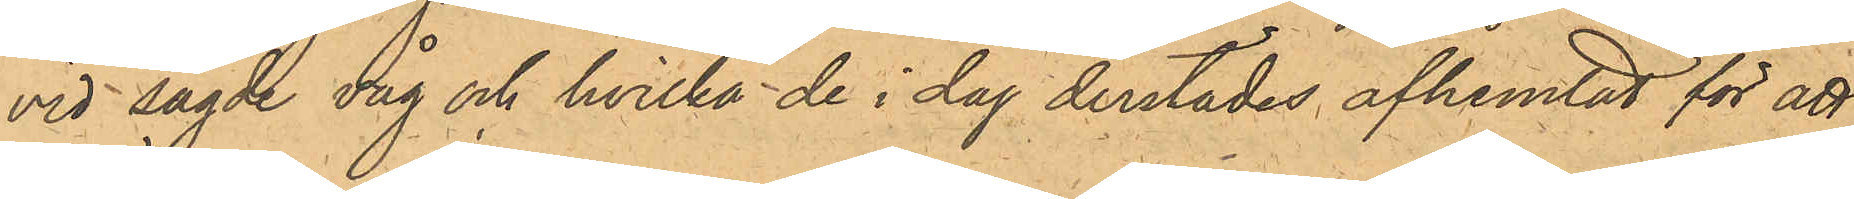vid sagde våg och hvilka de i dag derstädes afhemtat för att
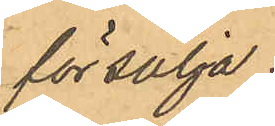försälja.
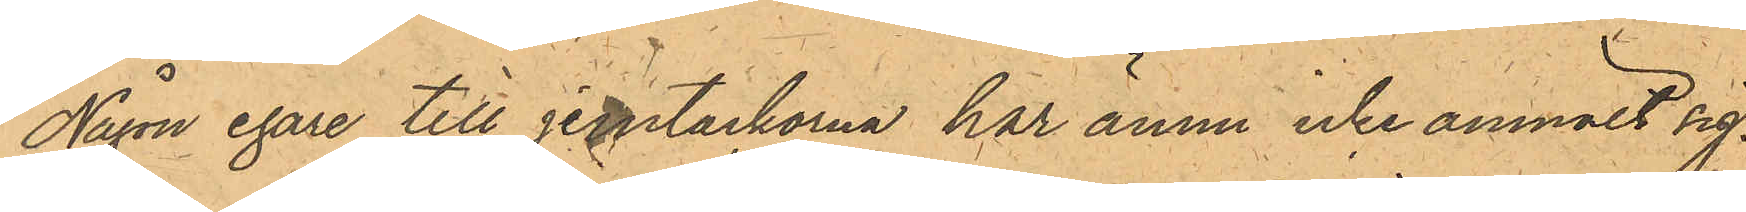Någon egare till jerntackorna har ännu icke anmält sig.
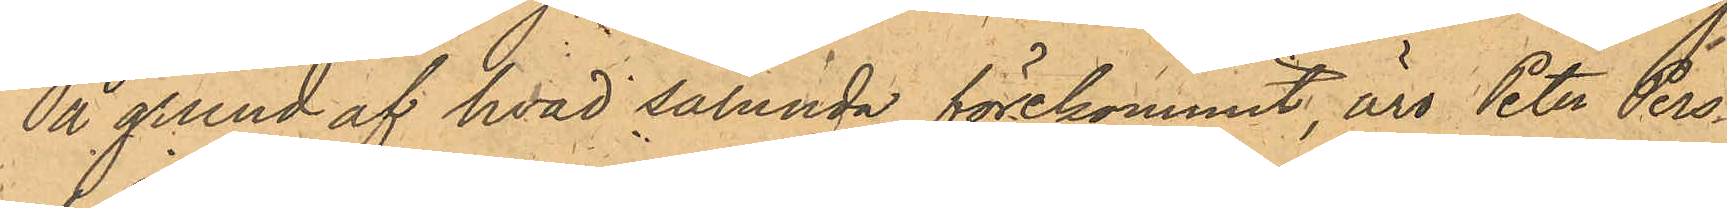På grund af hvad sålunda förekommit, äro Peter Pers¬
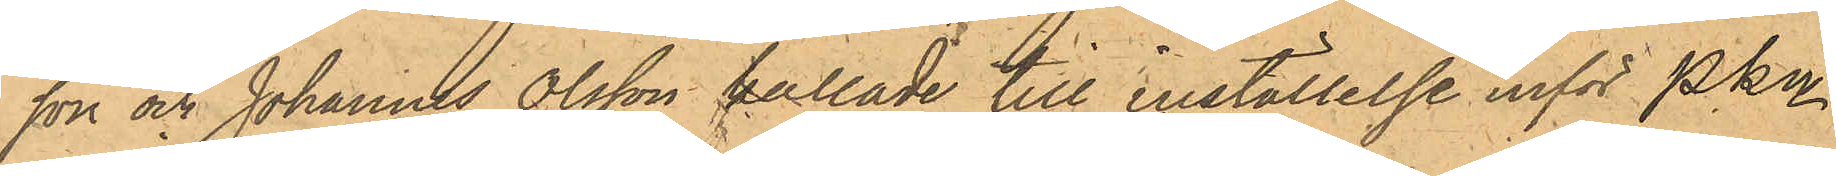son och Johannes Olsson kallade till inställelse inför PKn
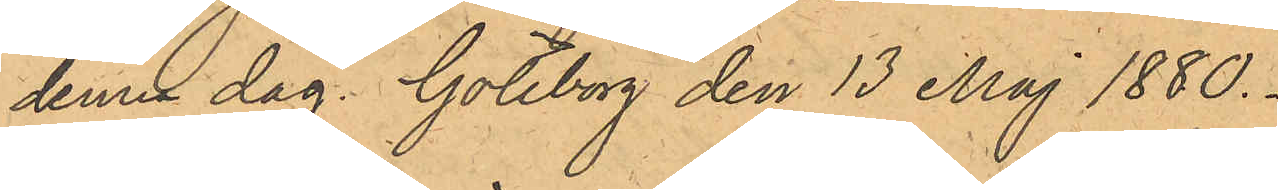denna dag. Göteborg den 13 Maj 1880.
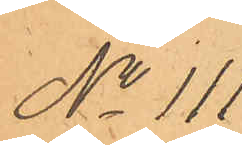No 111.
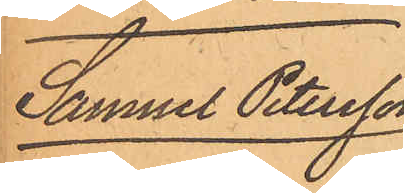Samuel Petersson
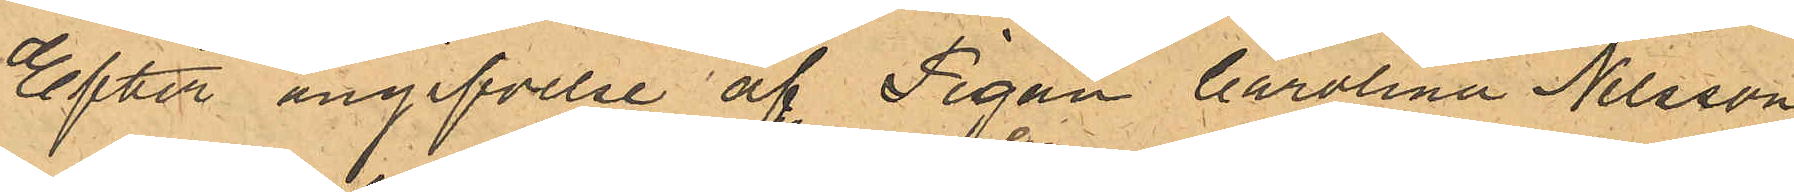Efter angifvelse af Pigan Carolina Nilsson
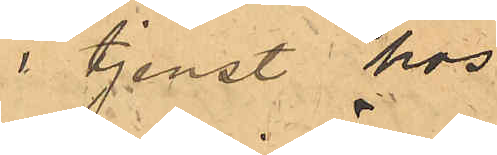i tjenst hos
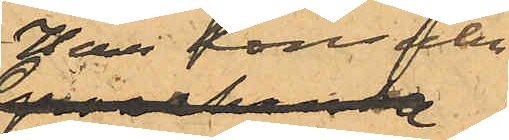Herr Konsuln
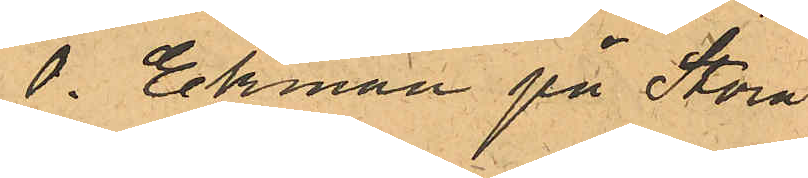O. Ekman på Stora
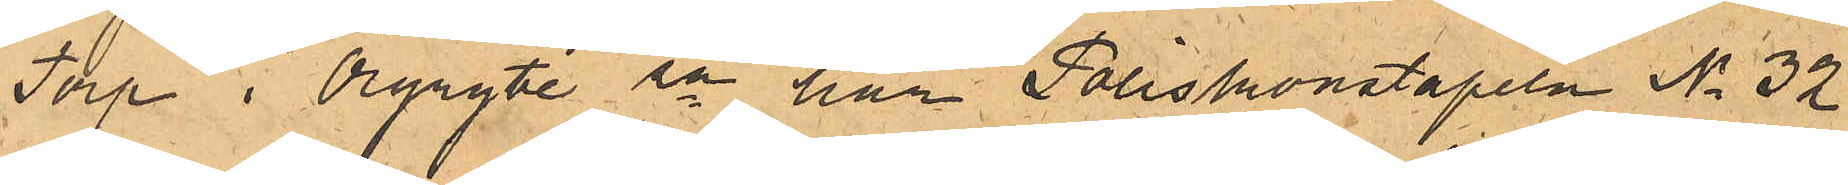Torp i Örgryte sn, har Poliskonstapeln No 32
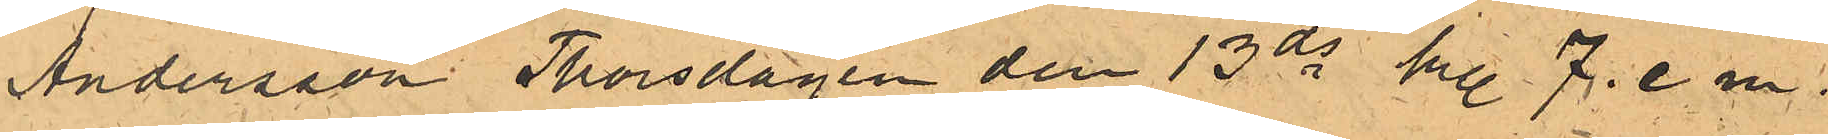Andersson Thorsdagen den 13 ds kl. 7. e m..
